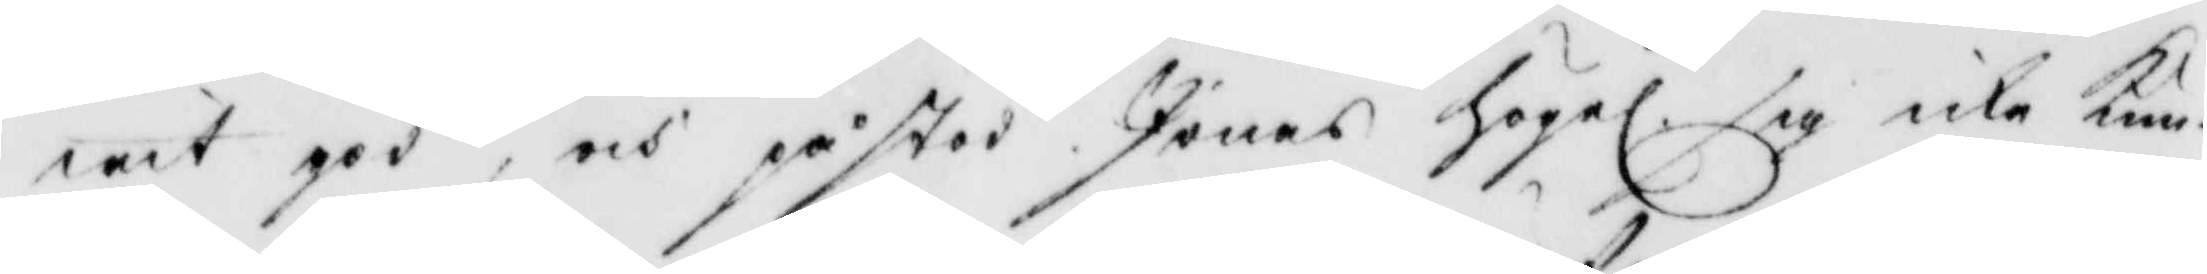wit god, och påstod Jonas högel. sig icke Kun¬
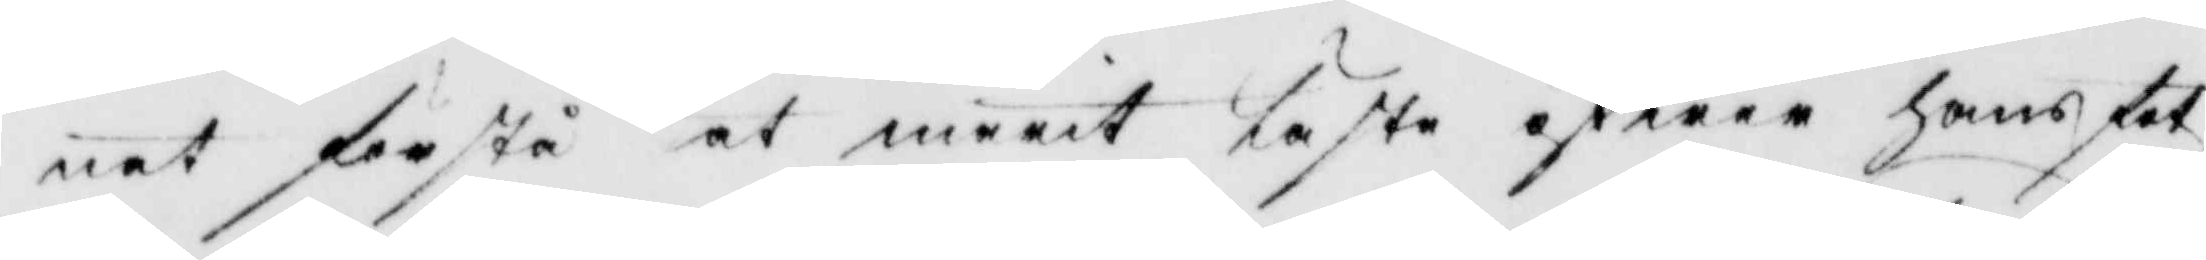nat förstå at marit läste öfwar hans fot
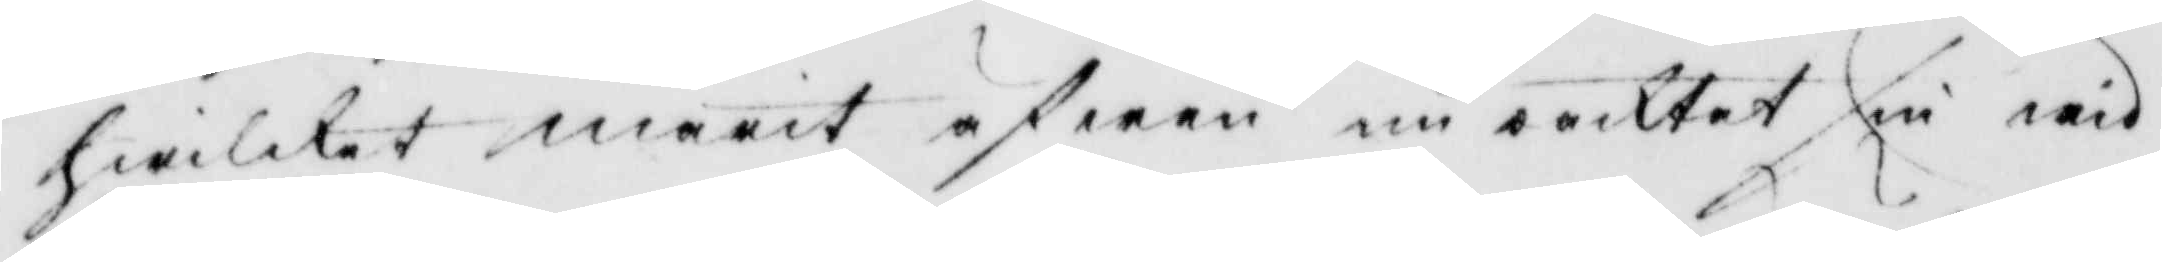hwilket marit äfwen nu oacktat sin wid
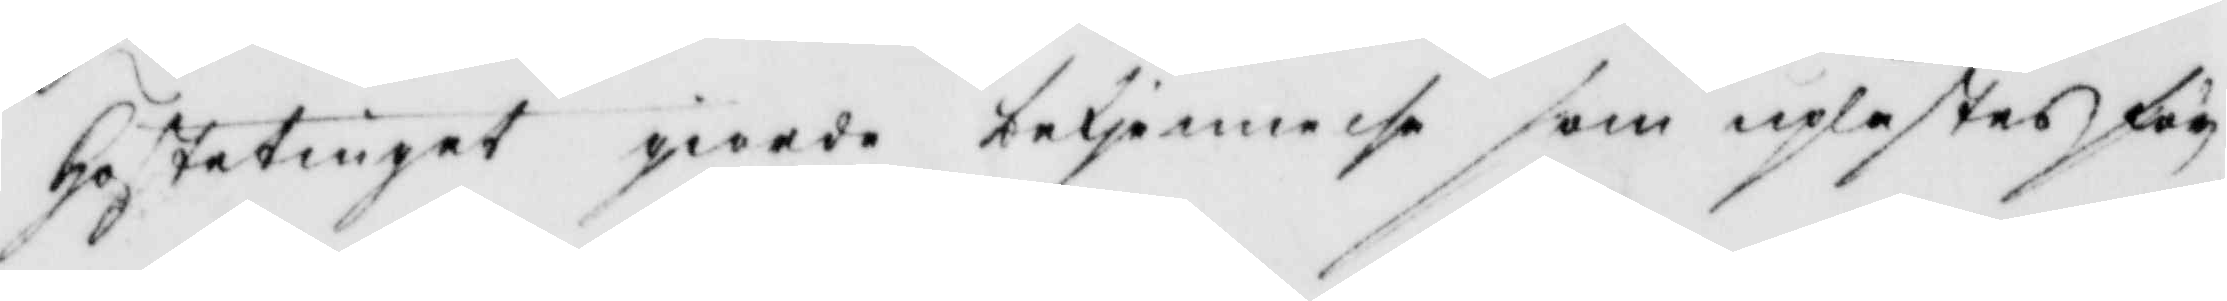Höstetingat giorde betjennelse som uplästes för¬
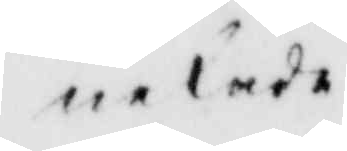nekade.
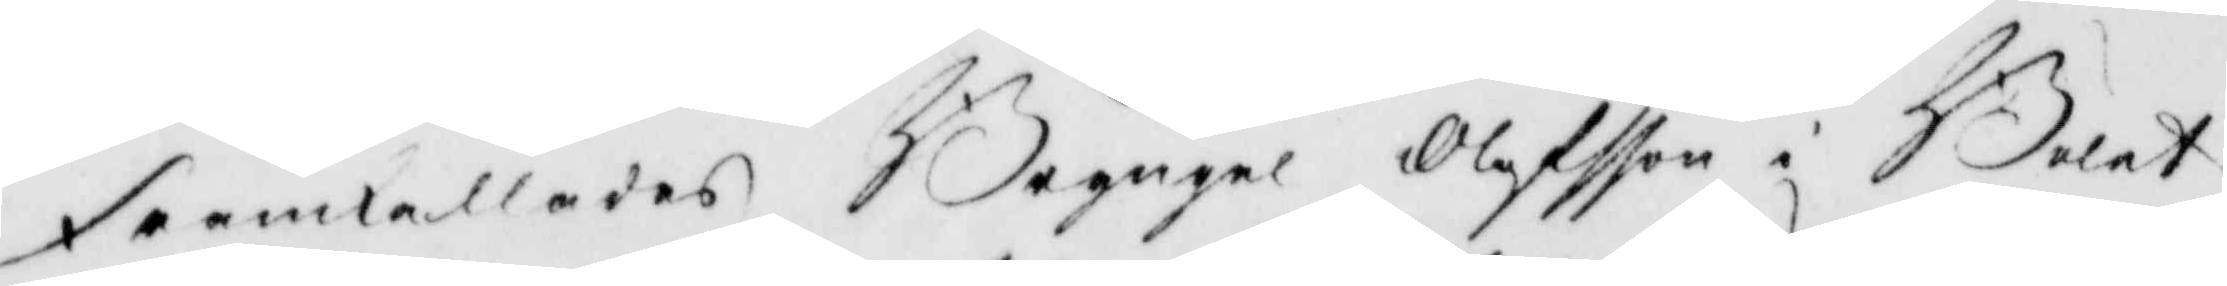Framkallades Bryngel Oloffson i Bolet
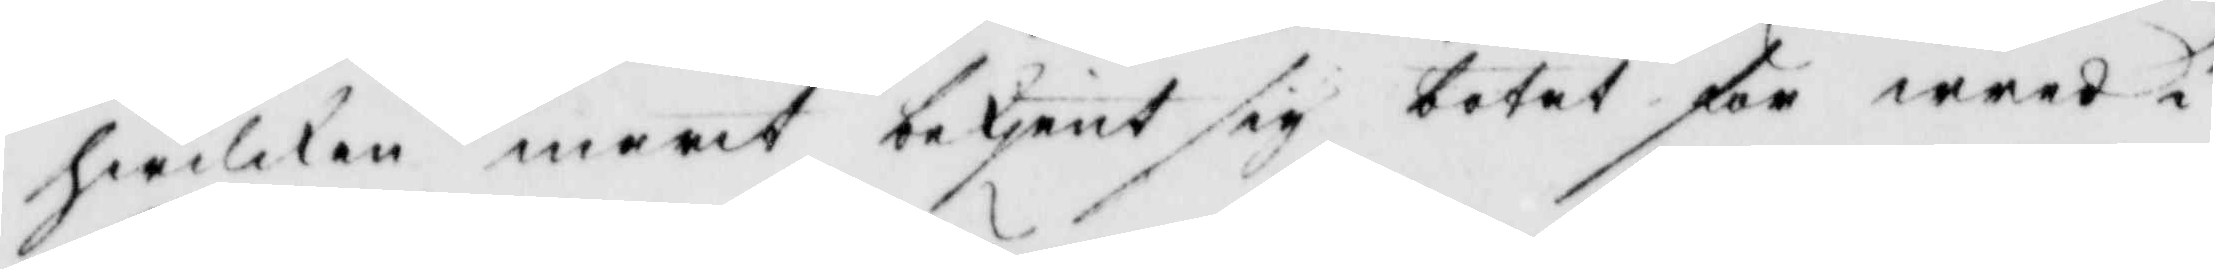hwilken marit betjent sig botat för wred i
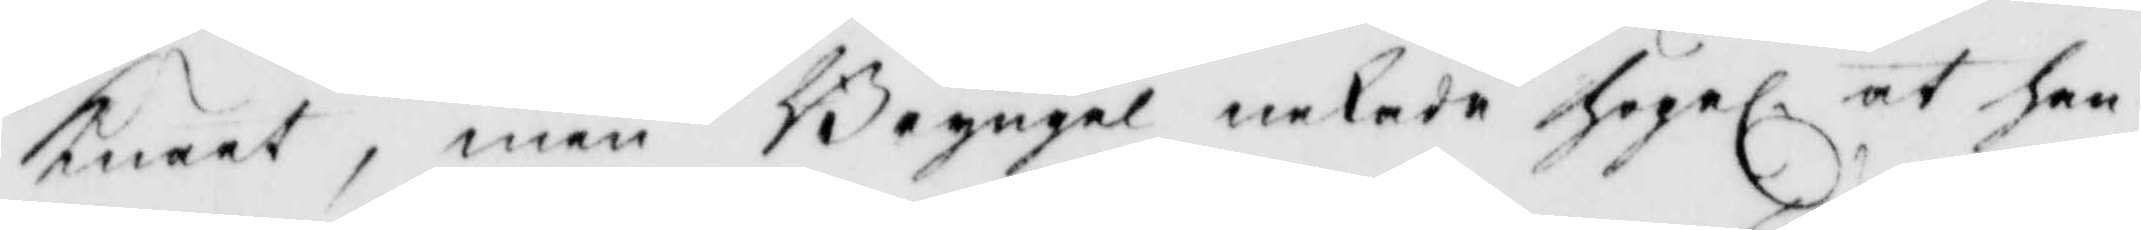knäet, men Bryngel nekade Högel. at han 
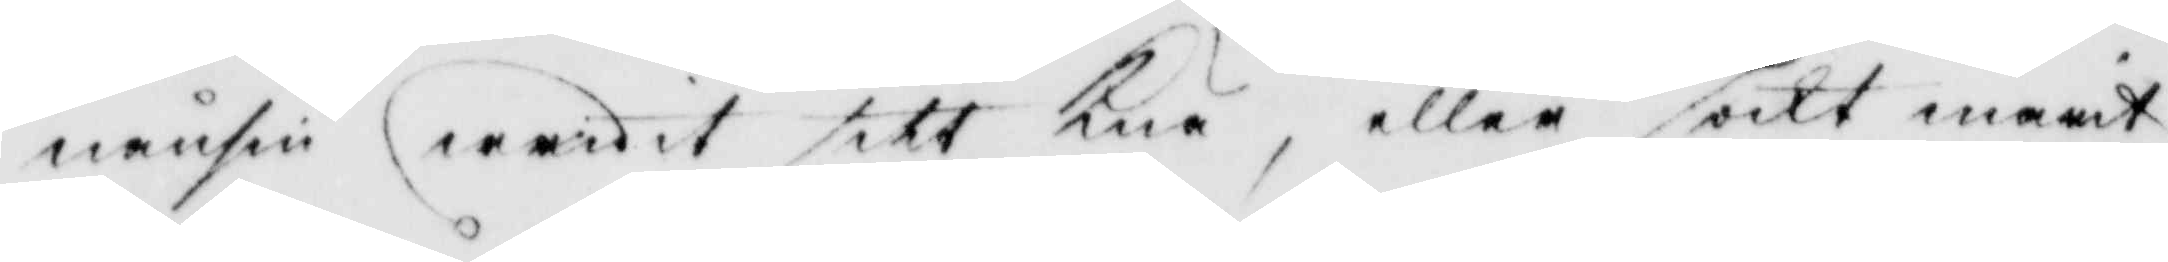nånsin wridit sitt Knä, eller sökt marit
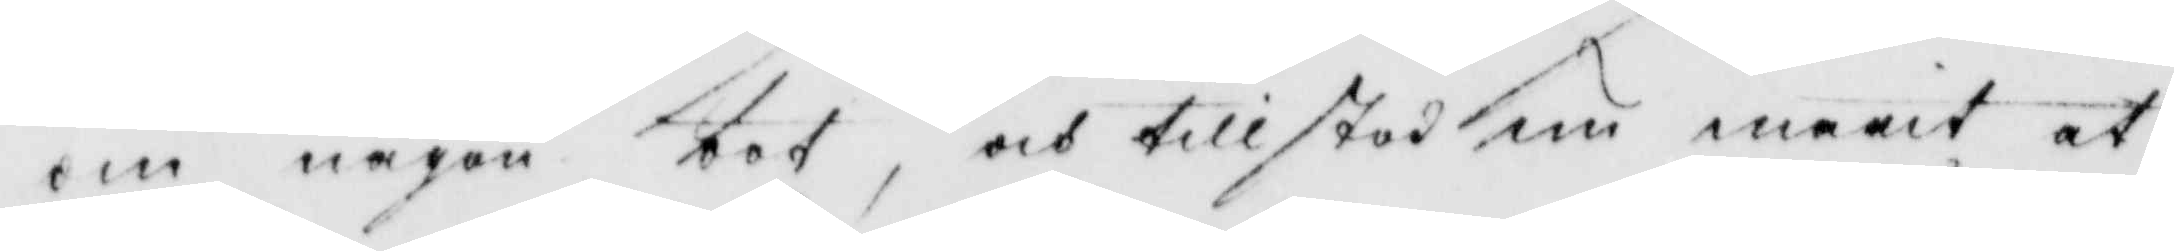om någon bot, och tillstod nu marit at
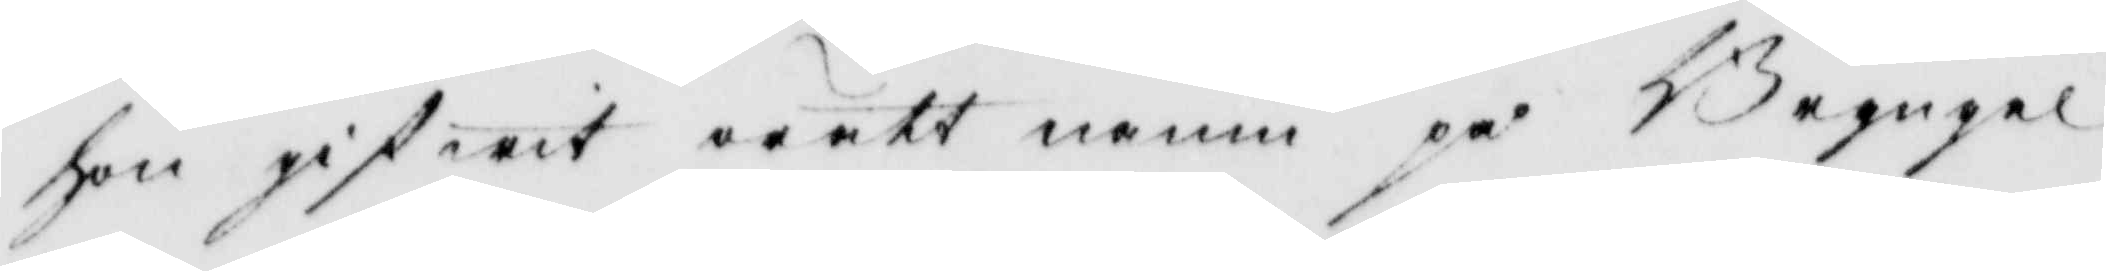hon gifwit orätt namn på Bryngel
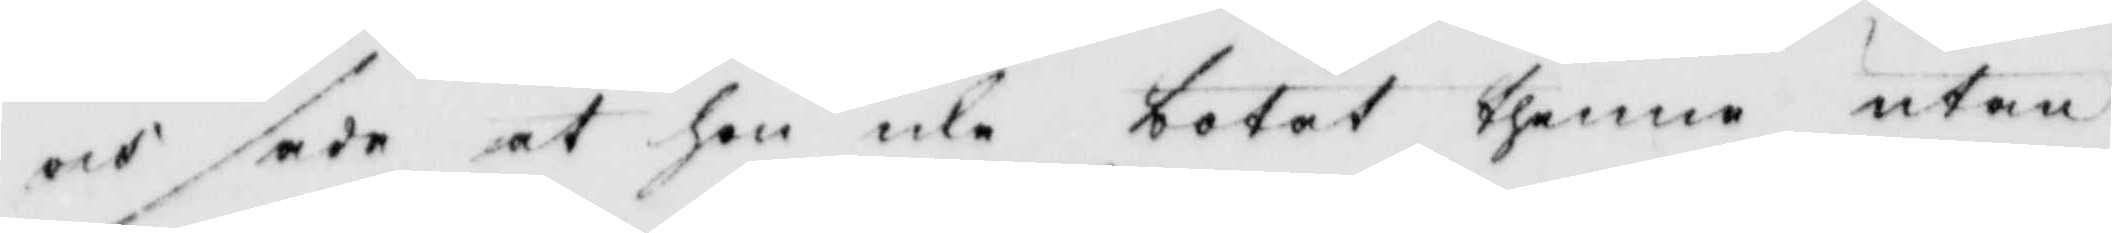och sade at hon icke botat thenne utan
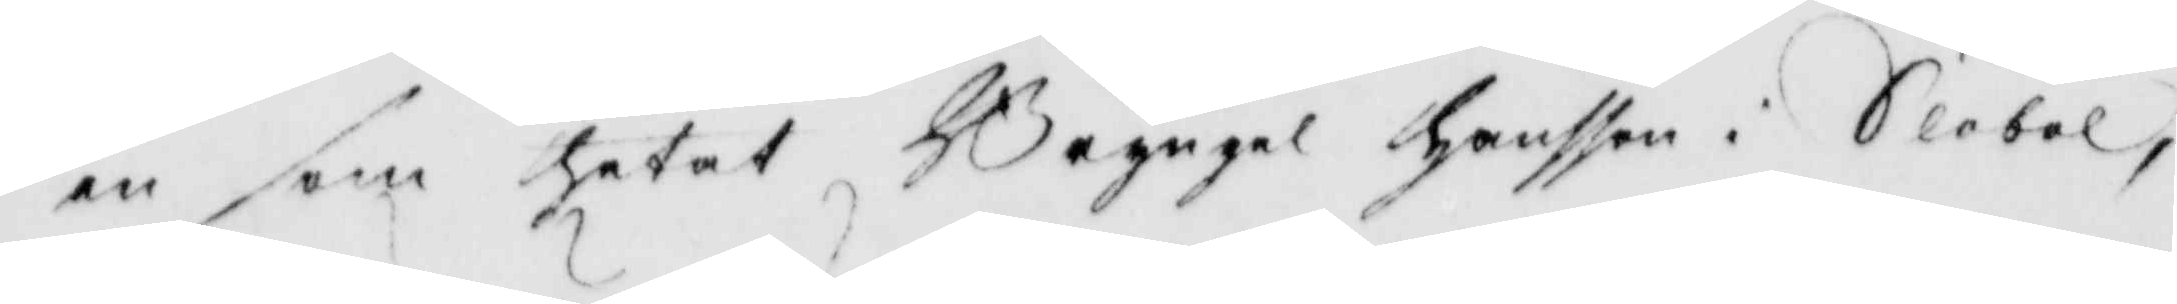en som hetat Bryngel Hansson i Slobol,
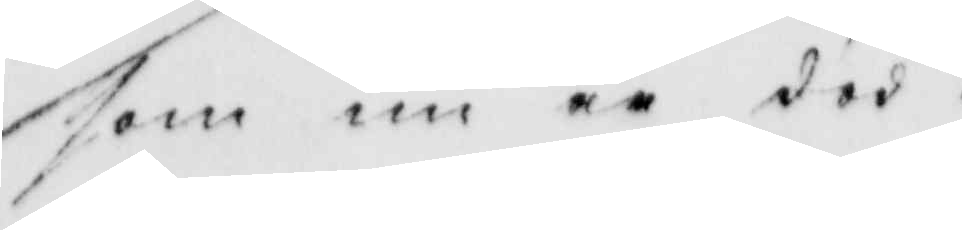som nu ee död.
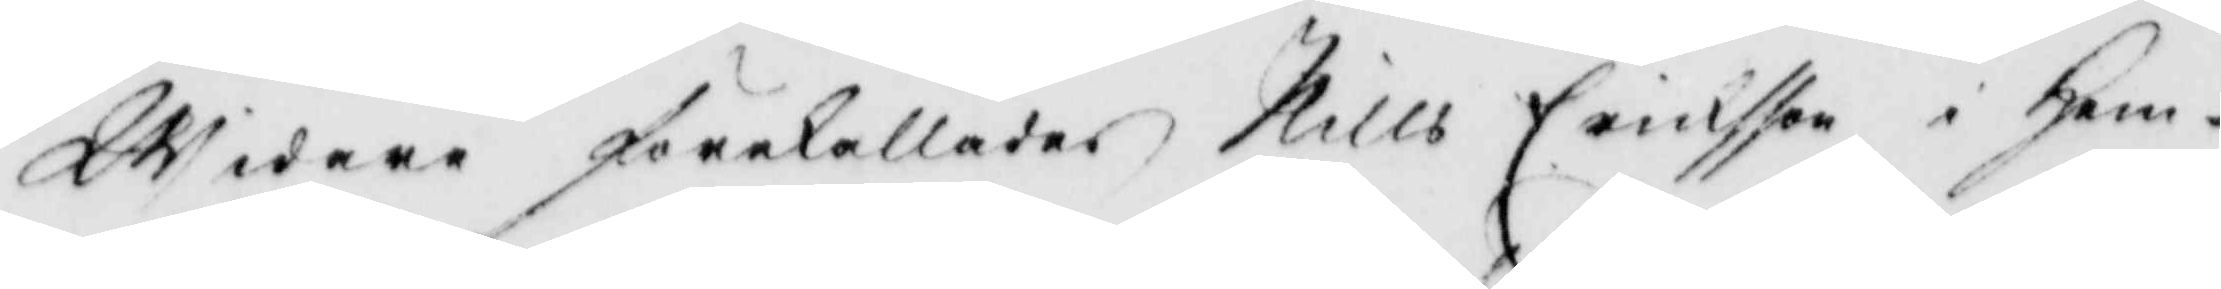Widare förekallades, Nills Ericksson i Hem¬
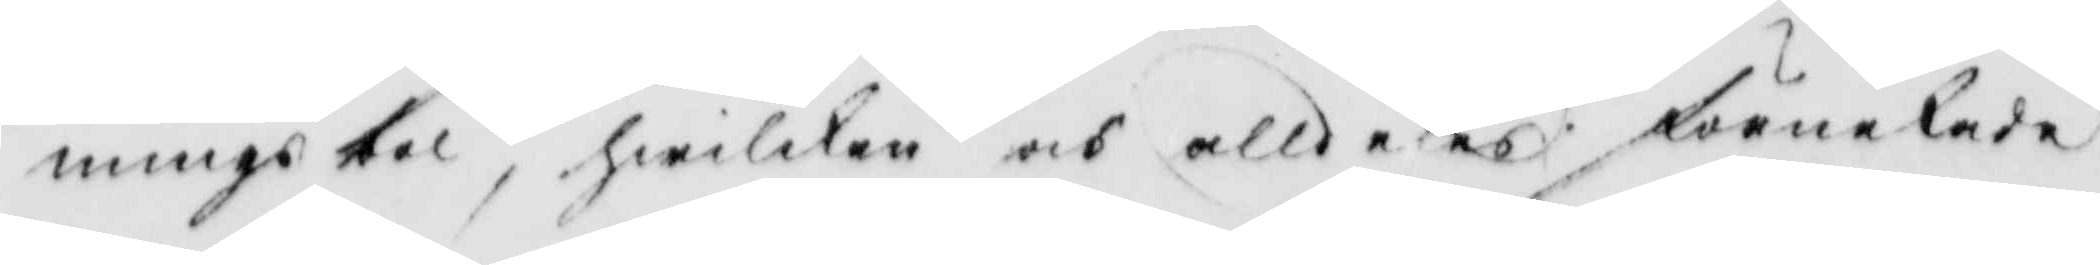mingsbol, hwilken och alldeses förnekade
